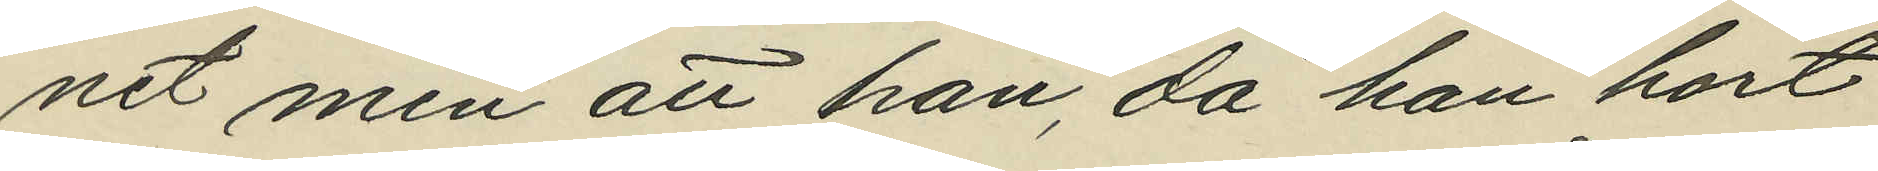net men att han, då han hört
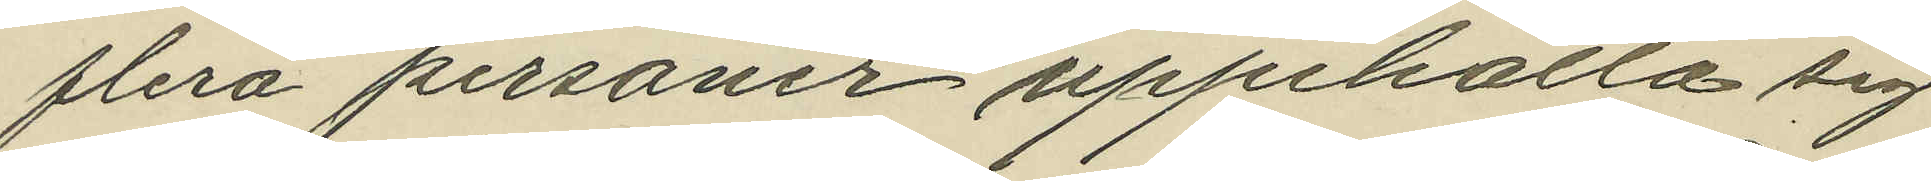flera personer uppehålla sig
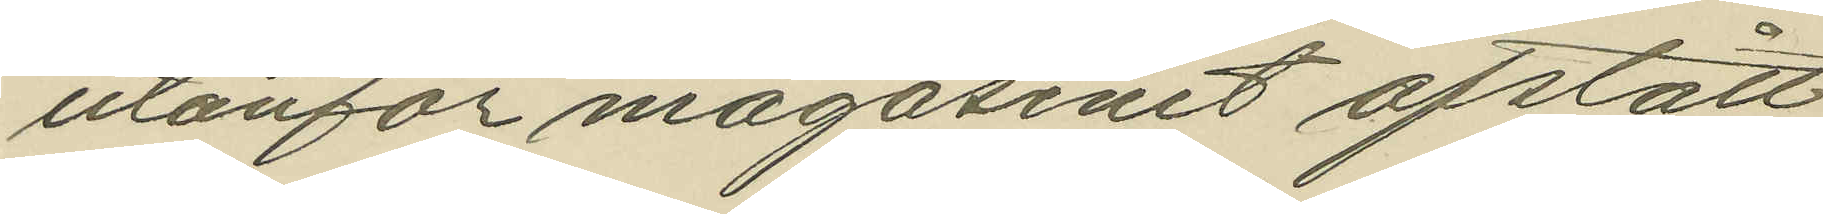utanför magasinet afstått
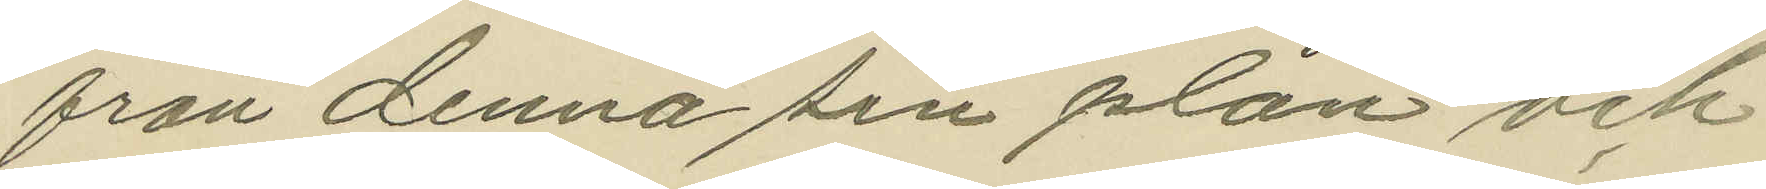från denna sin plan och
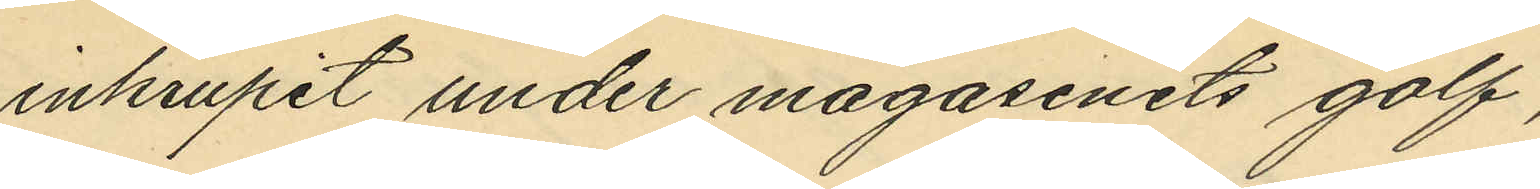inkrupit under magasinets golf,
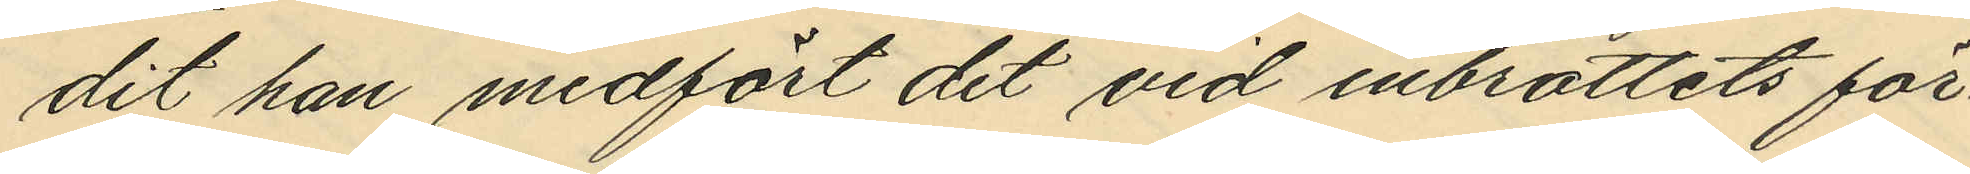dit han medfört det vid inbrottets för¬
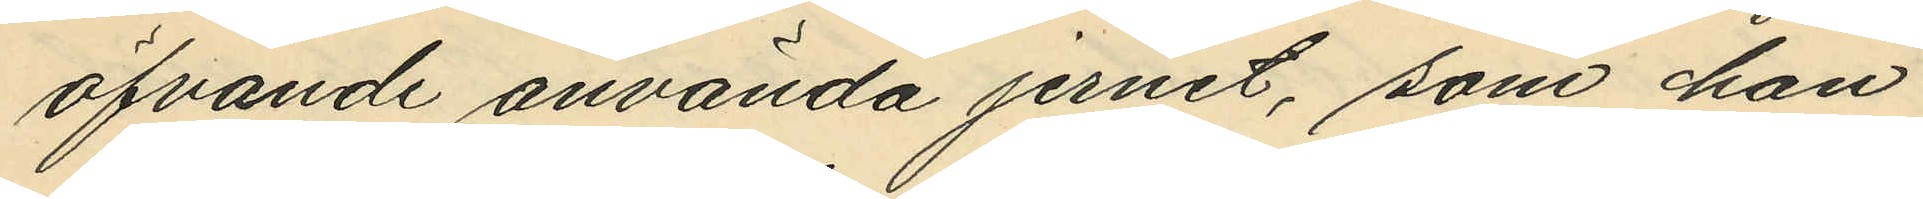öfvande använda jernet, som han
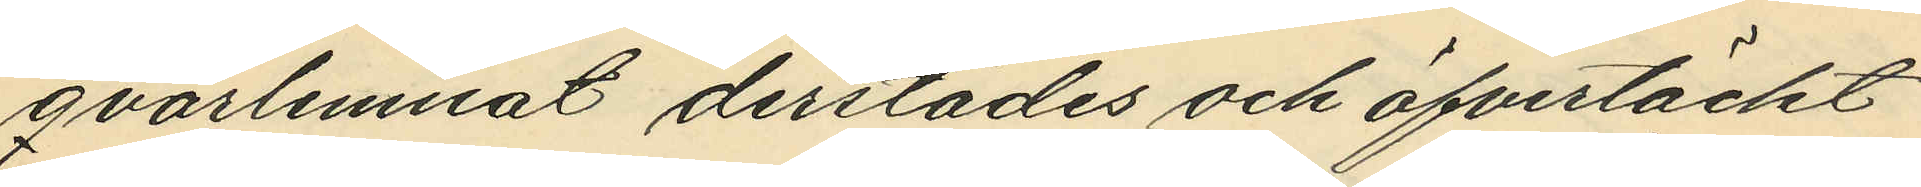qvarlemnat derstädes och öfvertäckt
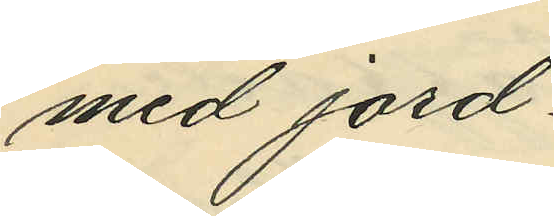med jord.
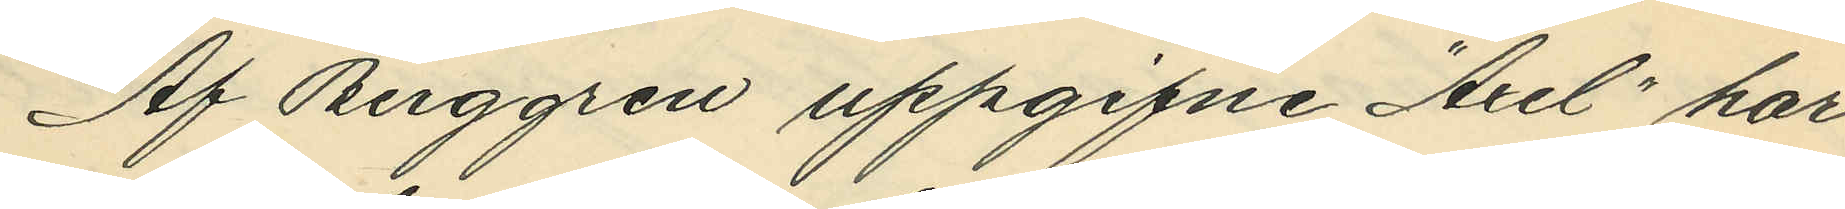Af Berggren uppgifne "Axel" har
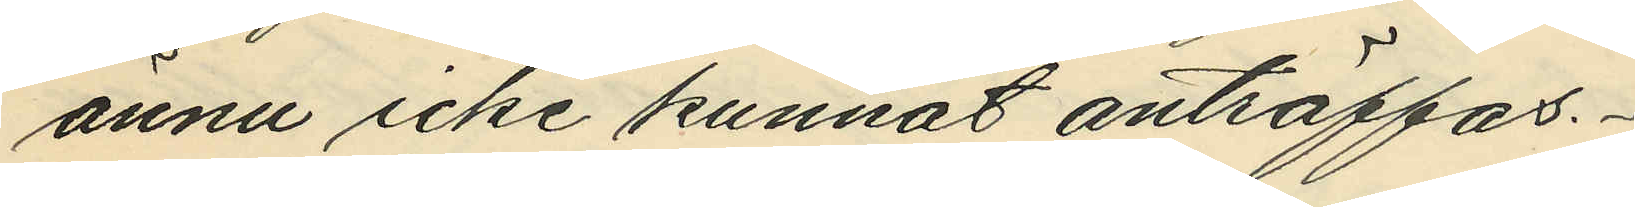ännu icke kunnat anträffas.
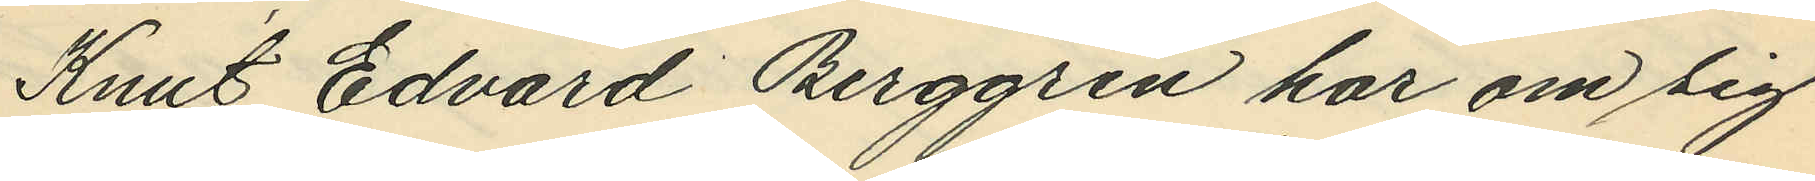Knut Edvard Berggren har om sig
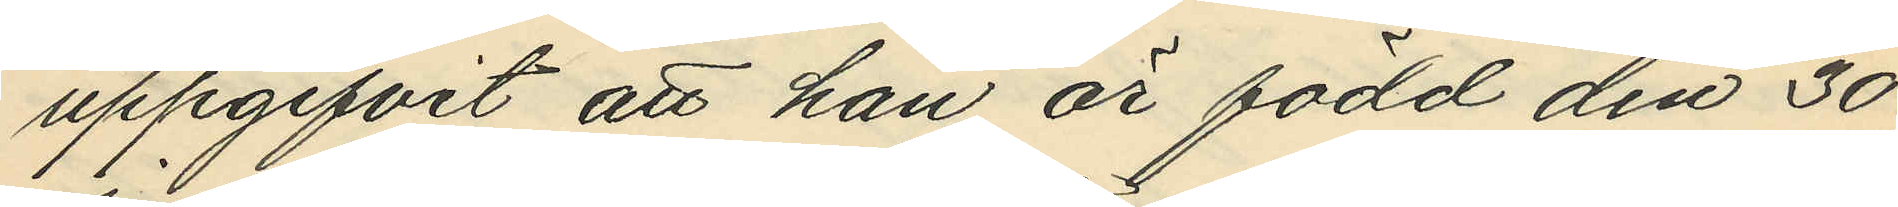uppgifvit att han är född den 30
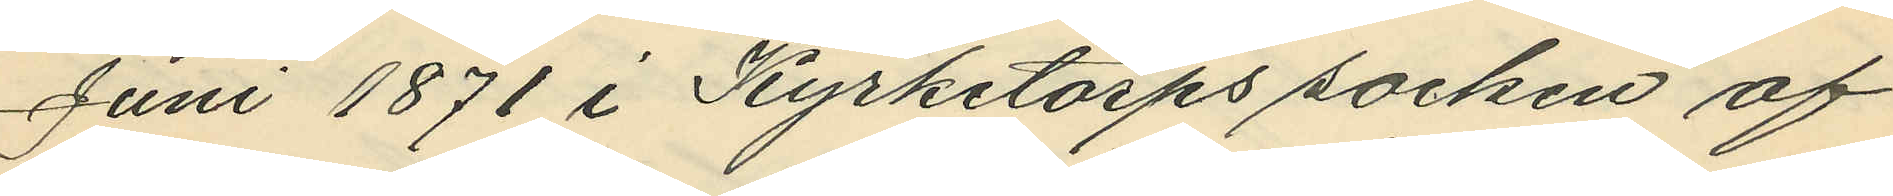Juni 1871 i Kyrketorps socken af
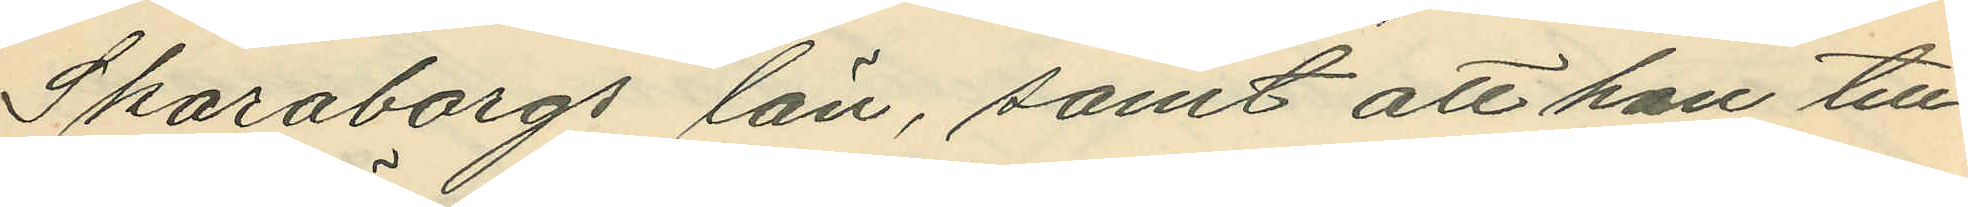Skaraborgs län, samt att han till¬
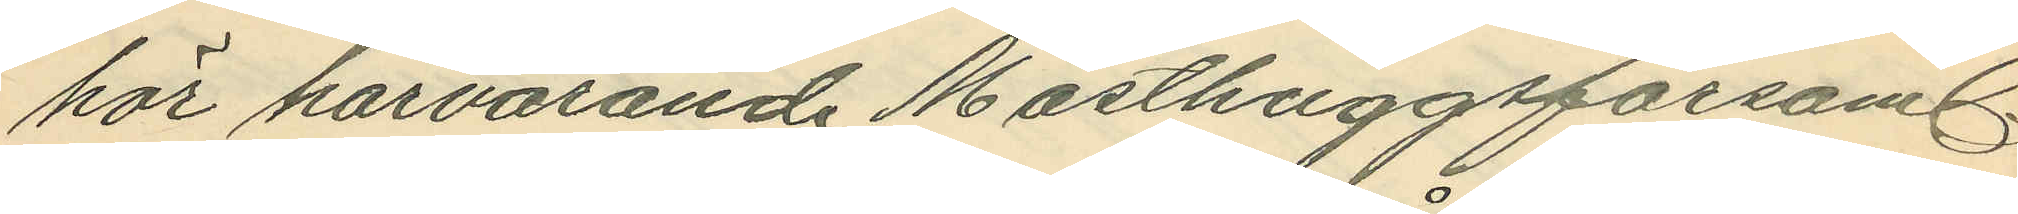hör härvarande Masthuggsförsaml.
